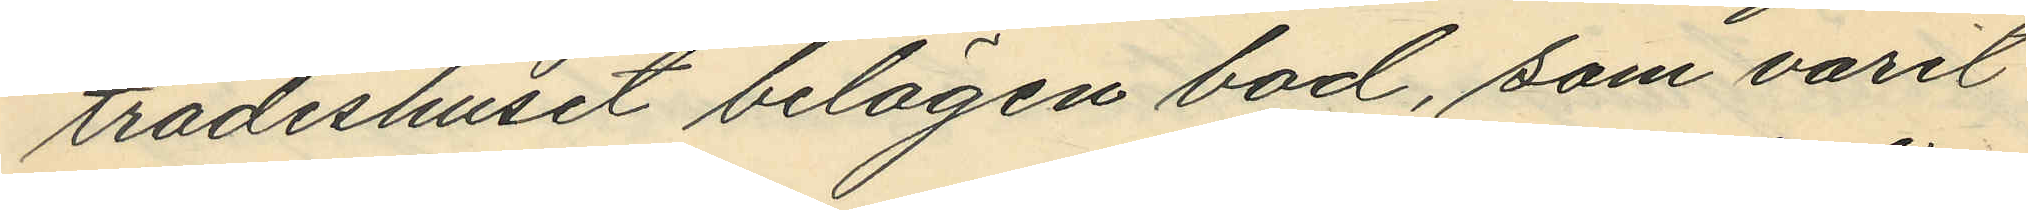trädeshuset belägen bod, som varit
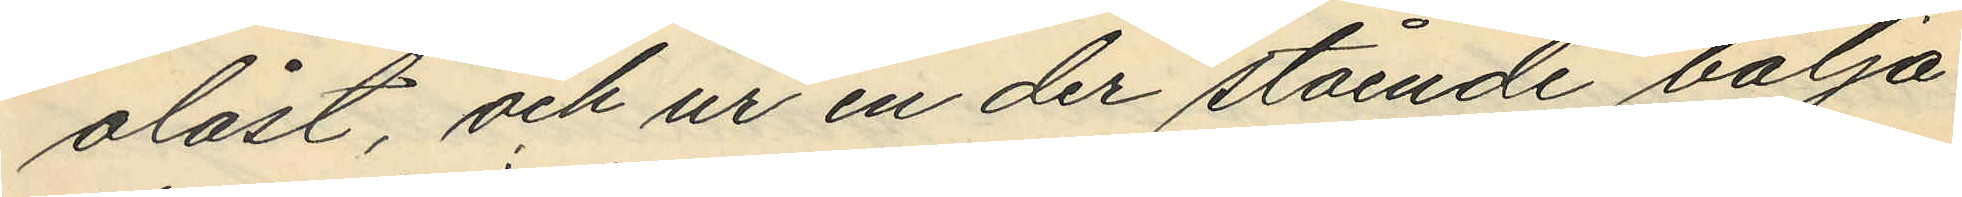olåst, och ur en der stående balja
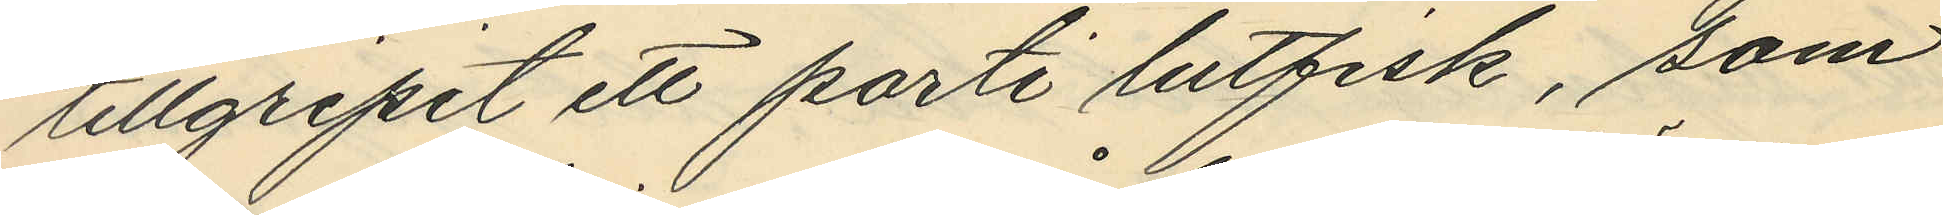tillgripit ett parti lutfisk, som
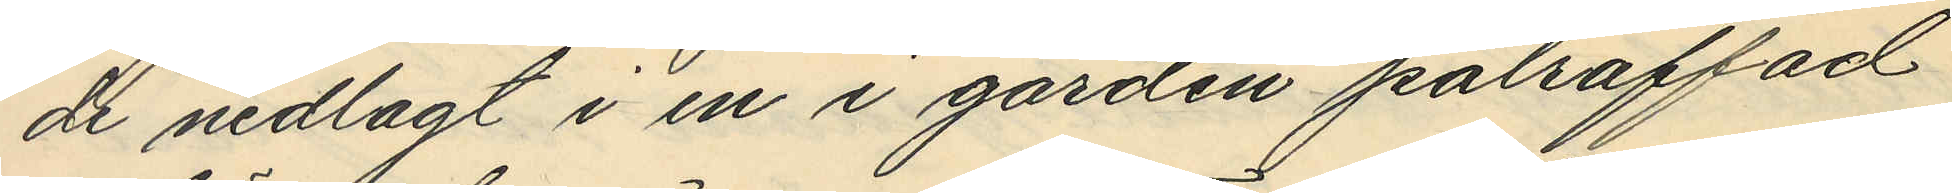de nedlagt i en i gården påträffad
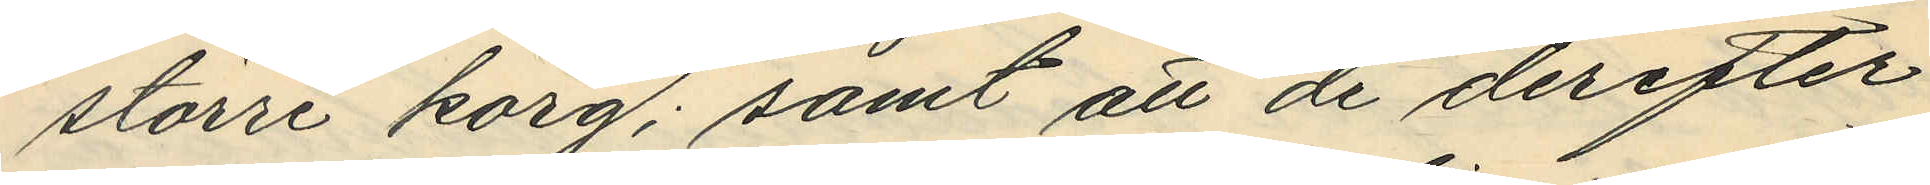större korg; samt att de derefter
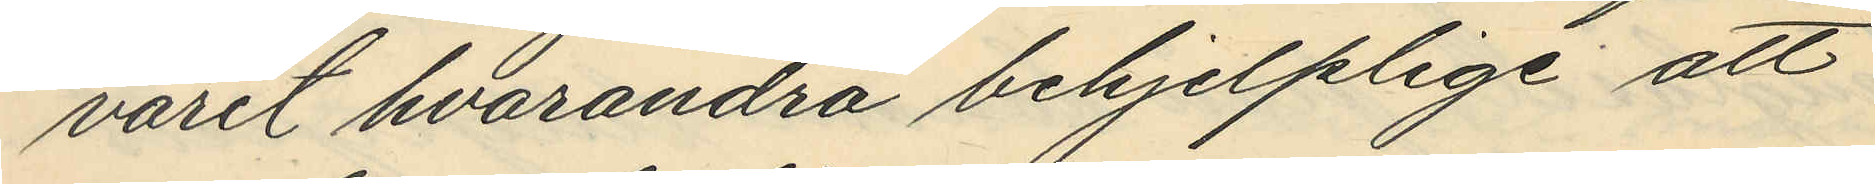varit hvarandra behjelplige att
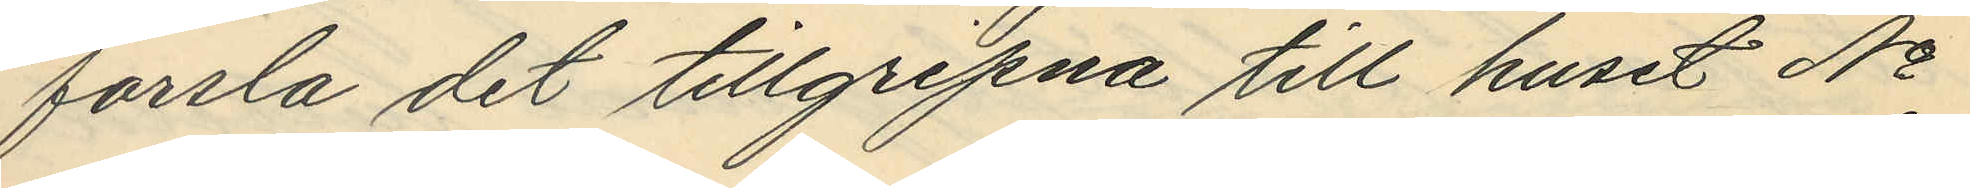forsla det tillgripna till huset No
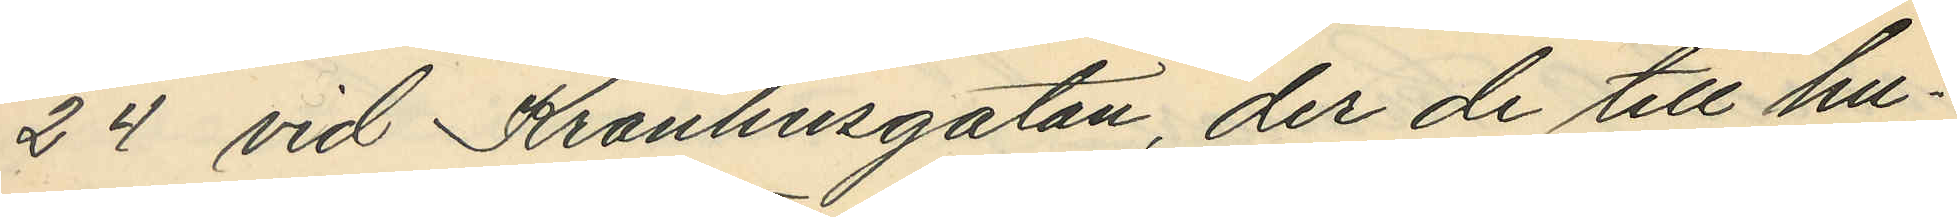24 vid Kronhusgatan, der de till hu¬
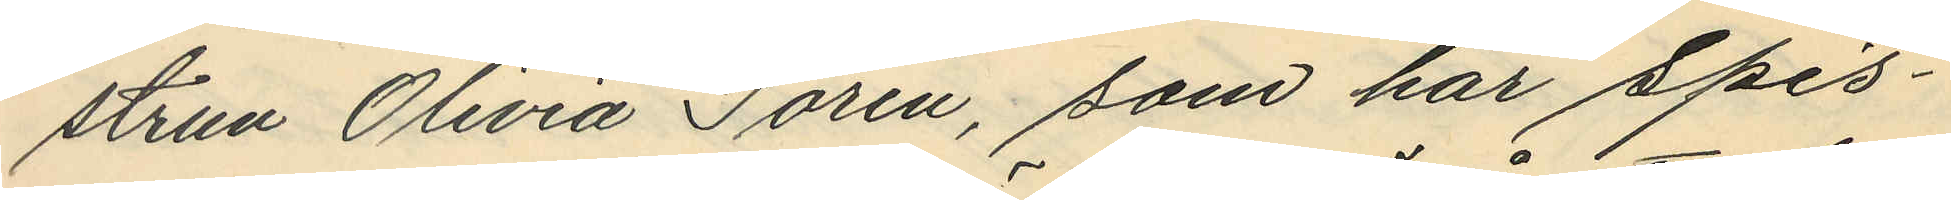strun Olivia Torén, som har Spis¬
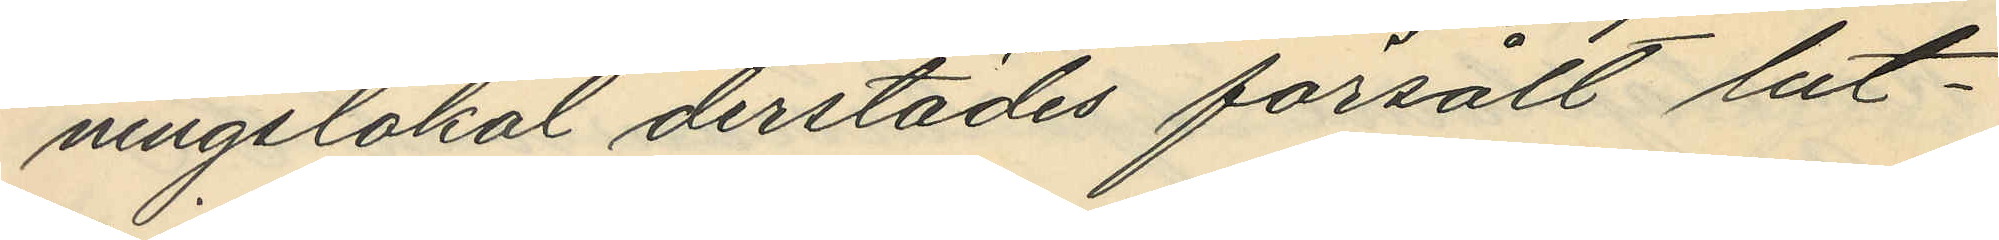ningslokal derstädes försålt lut¬
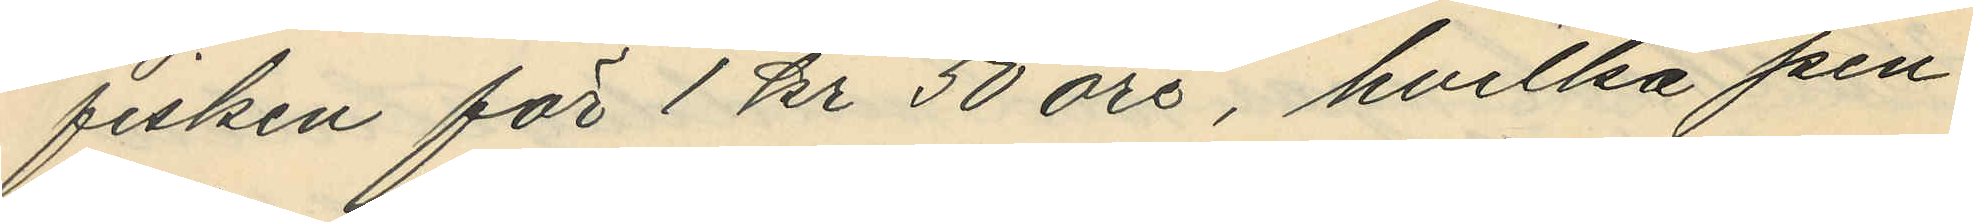fisken för 1 kr 50 öre, hvilka pen¬
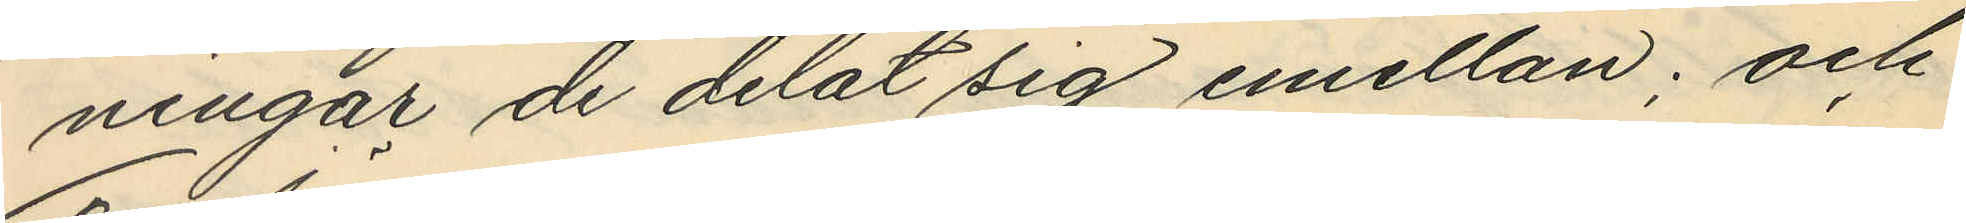ningar de delat sig emellan; och
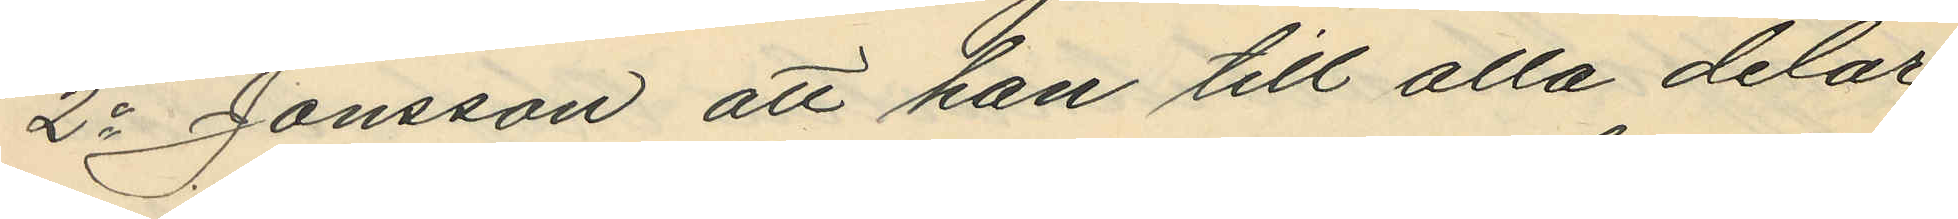2o Jonsson att han till alla delar
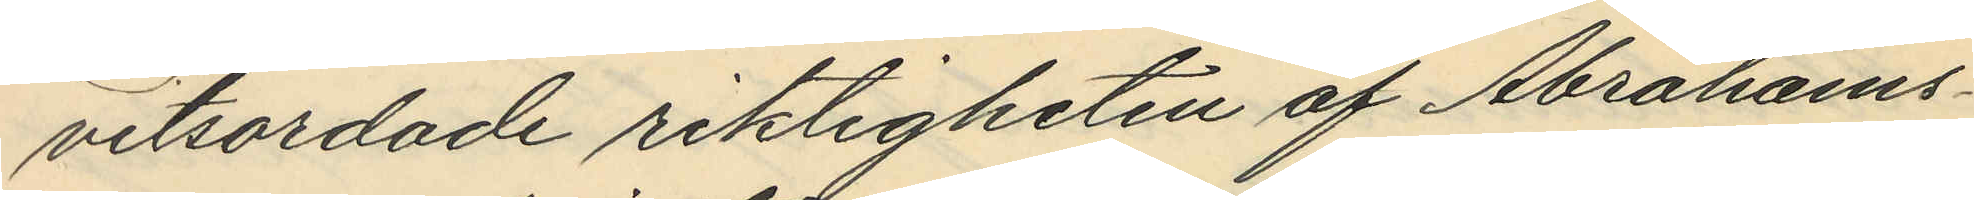vitsordade riktigheten af Abrahams¬
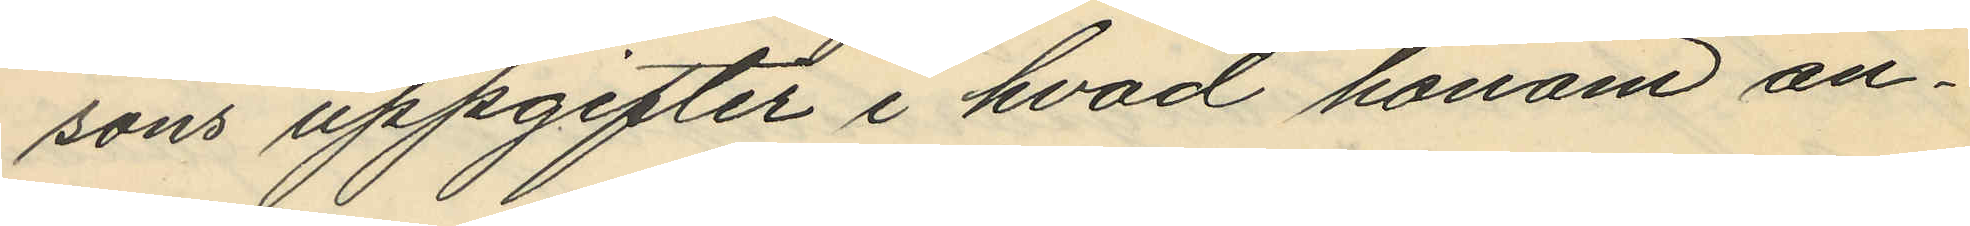sons uppgifter i hvad honom an¬
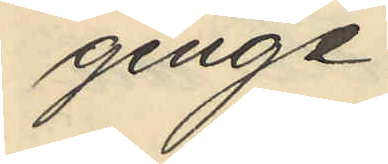ginge.
